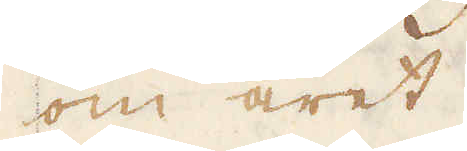om året.
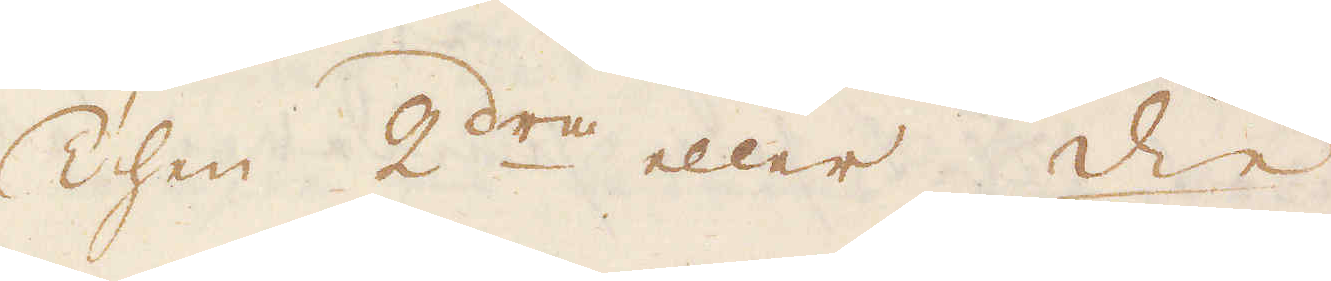Then 2dra eller die
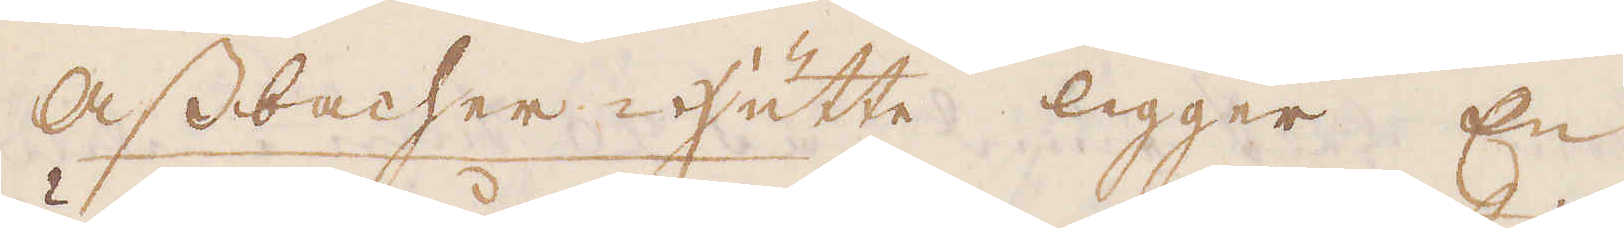Assbacher hütte ligger En
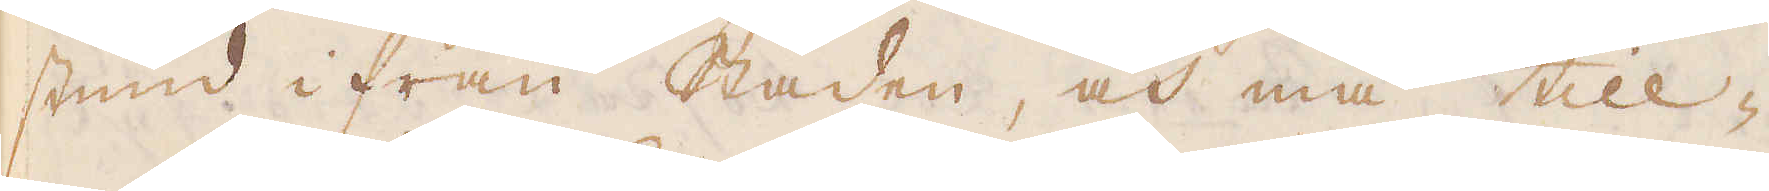stund ifrån Staden, och må till-
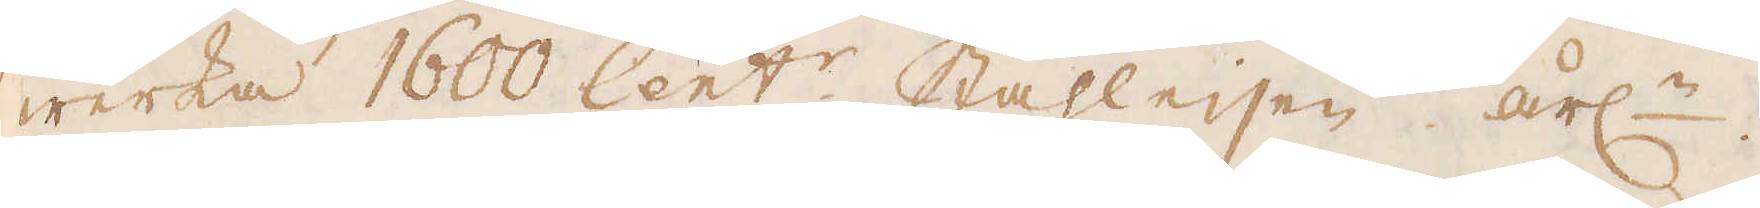werka 1600 Cent:r. Stahleisen årl:n.
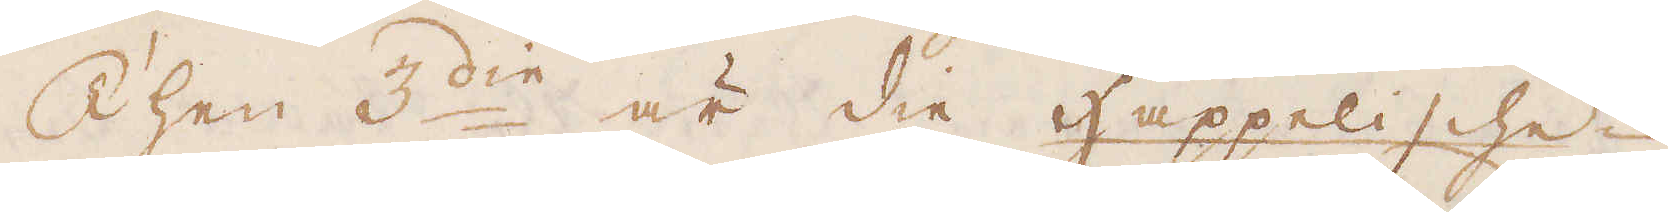Then 3:die är die Happelische
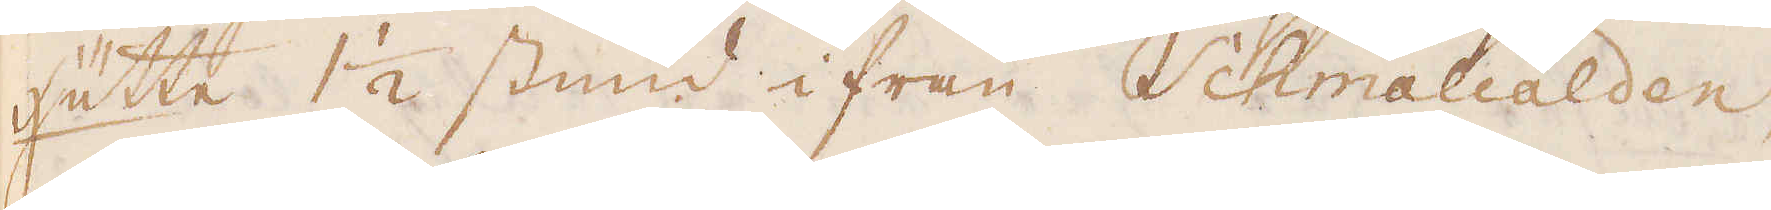hütte 1 1/2 stund ifrån Schmalcalden,
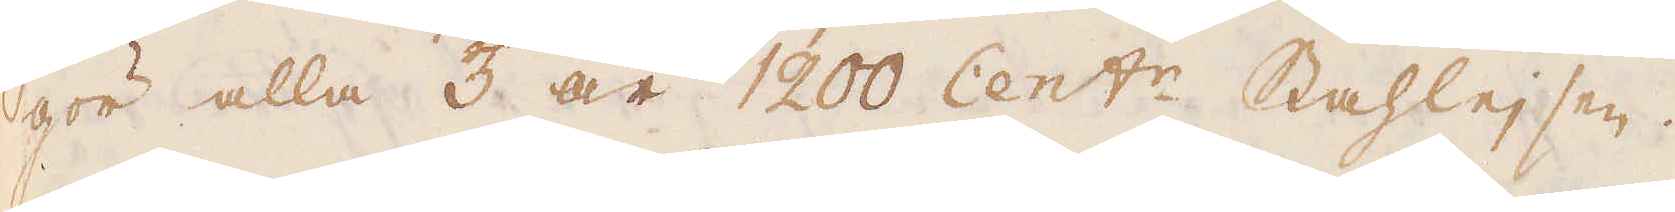gör alla 3 år 1200 Cent:r Stahleisen.
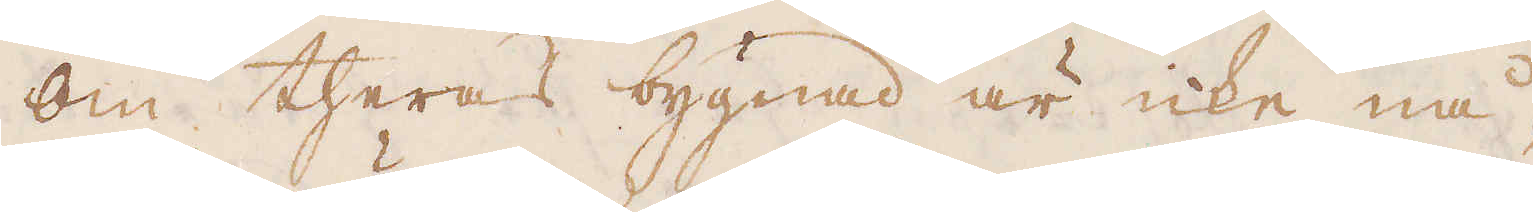Om theras bygnad är icke nå-
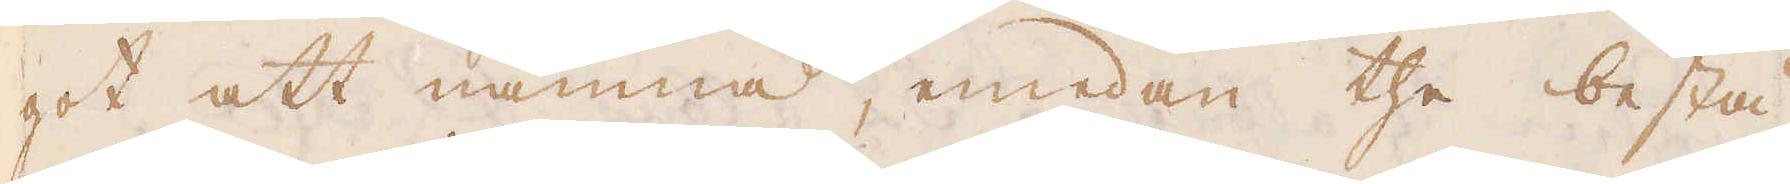got att nämna, emedan the bestå
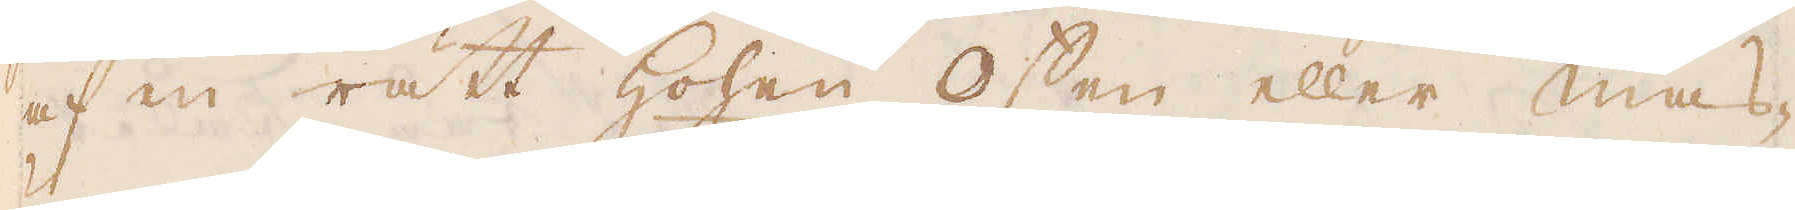af en rätt hohen offen eller mas-
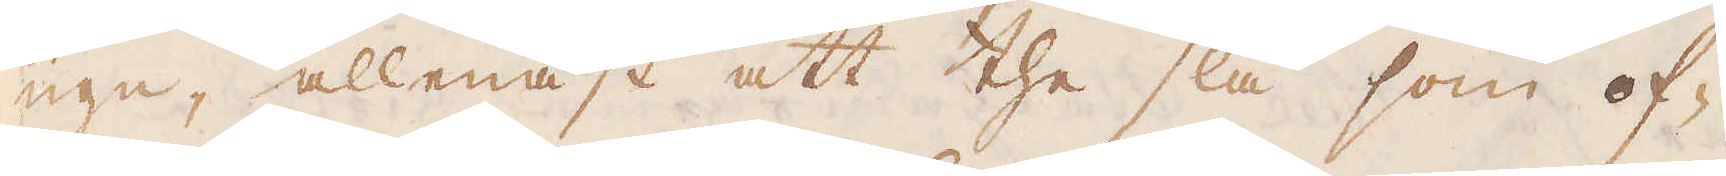ugn, allenast att the slå som of-
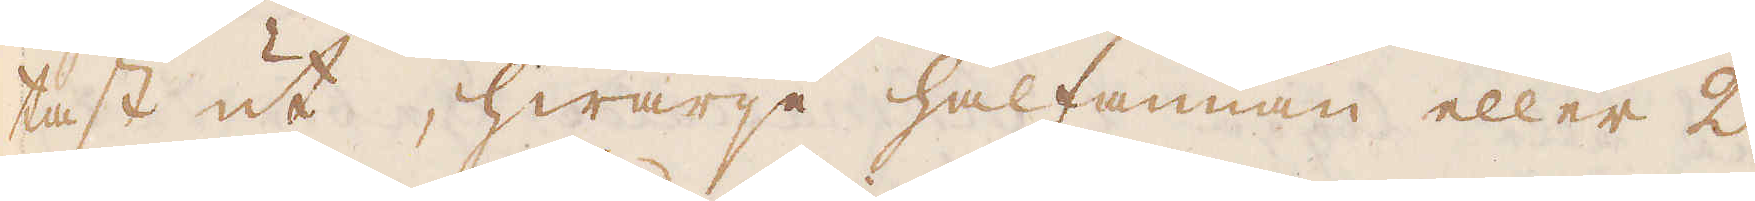tast ut, hwarje halfannan eller 2
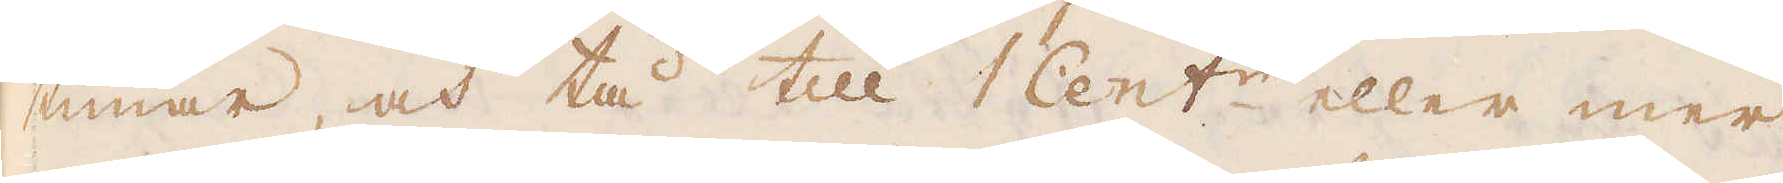timar, och tå till 1 Cent:r eller mer
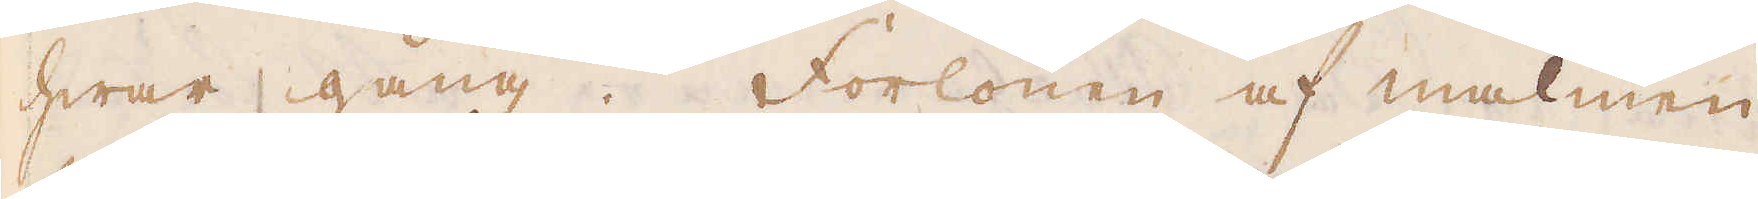hwar gång. Forlönen af malmen
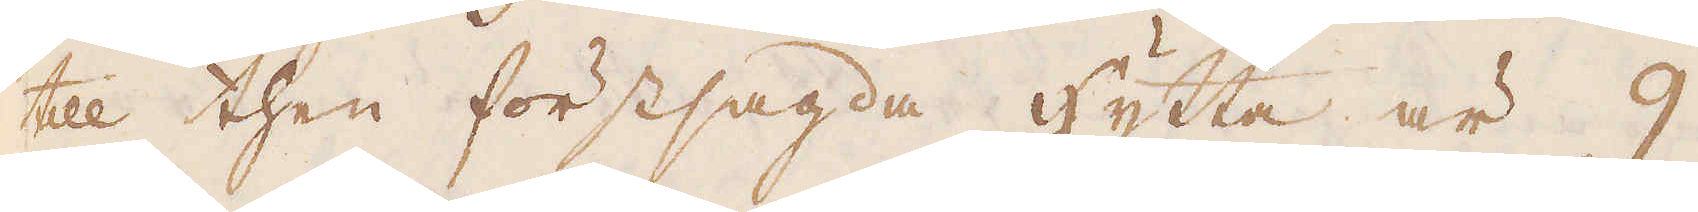till then förstsagda hytta är 9
